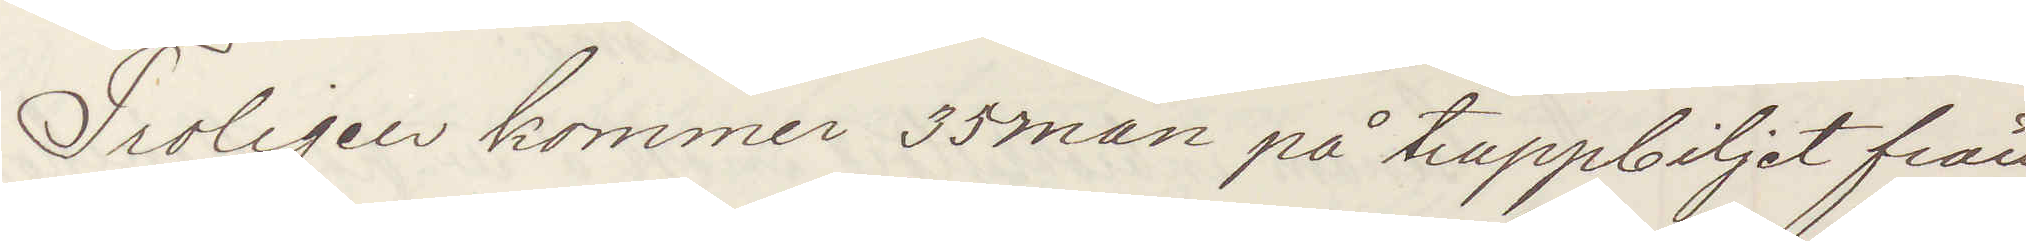Troligen kommer 35 man på truppbiljet från
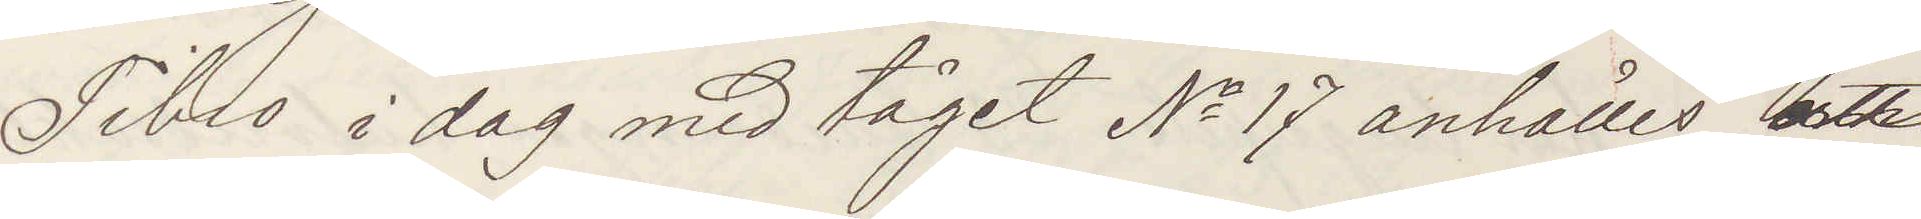Tibro i dag med tåget No 17 anhålles att
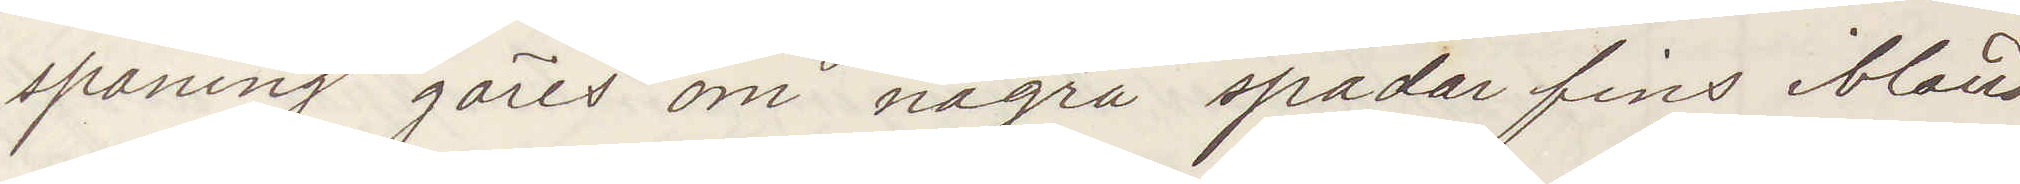spaning göres om några spadar fins ibland
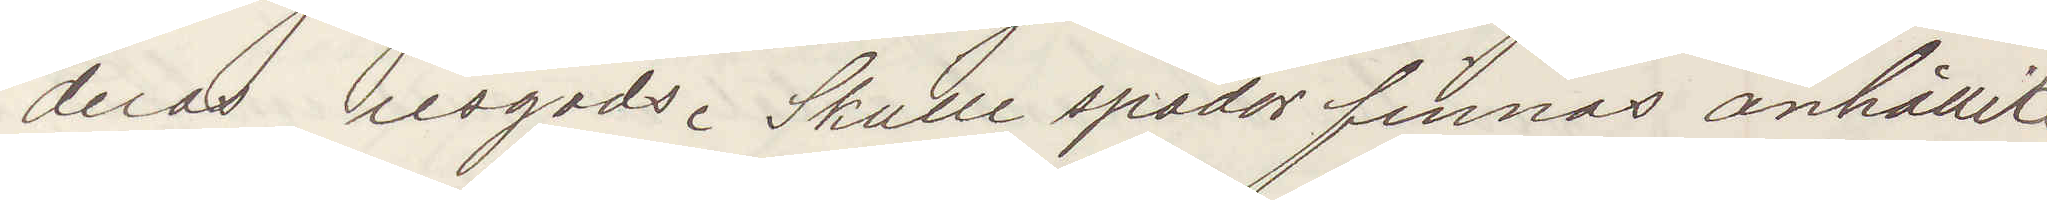deras resgods. Skulle spadar finnas anhållits
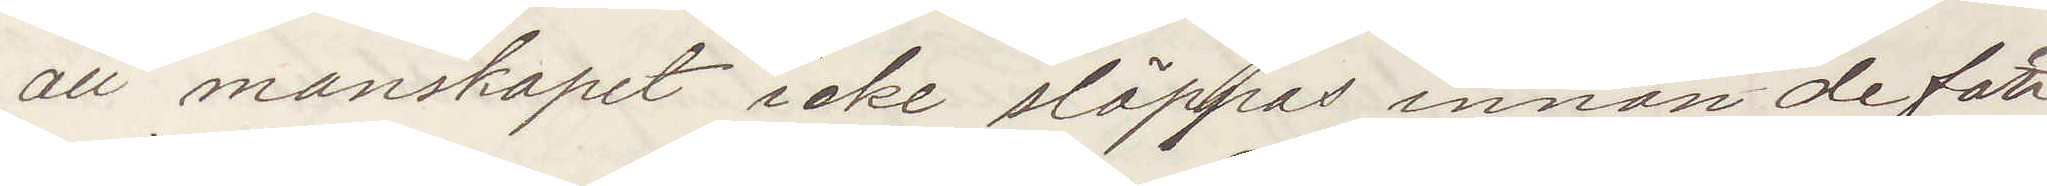att manskapet icke släppas innan de foll¬
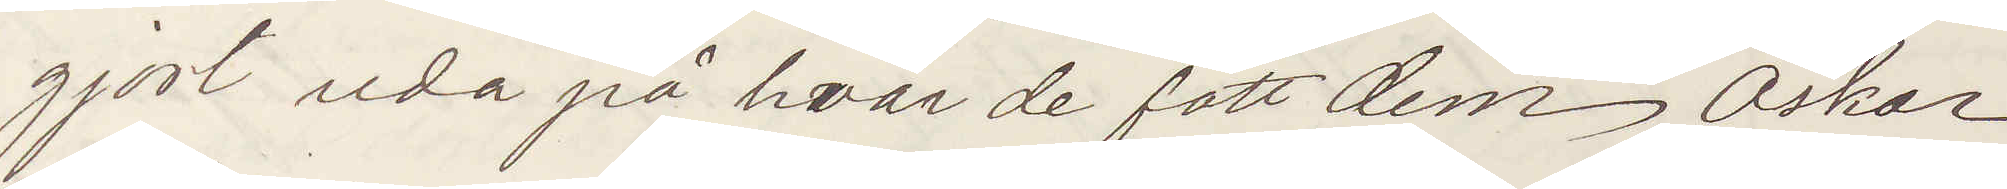gjort reda på hvar de fått dem Oskar
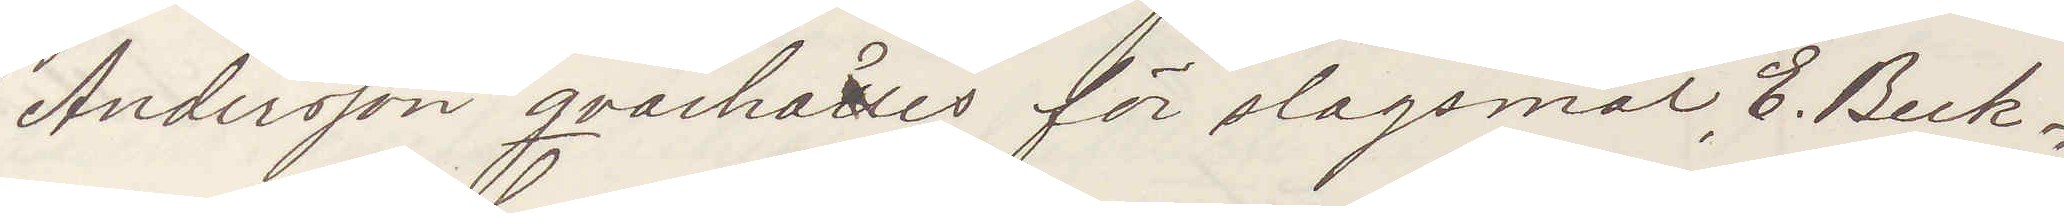Andersson qvarhålles för slagsmål, E. Beck¬
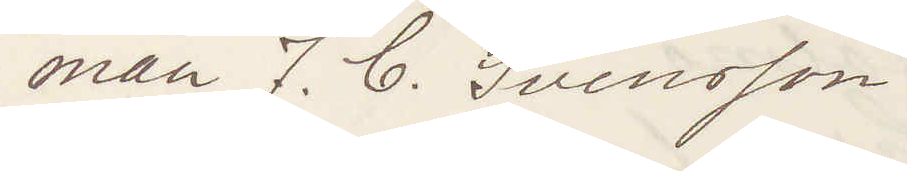man J. C. Svensson
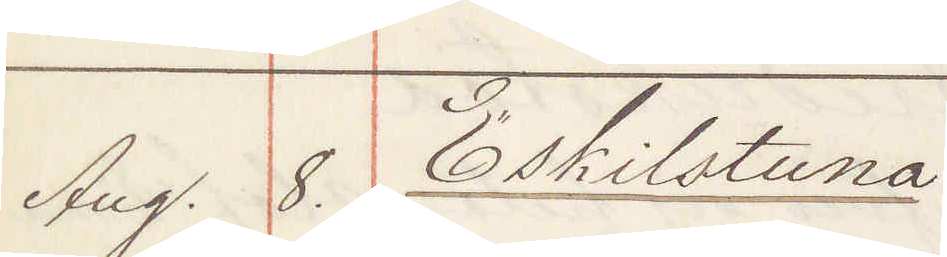Aug. 8. Eskilstuna:
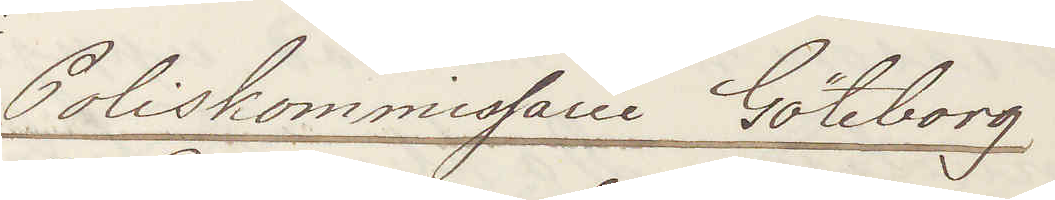Poliskommissarie Göteborg
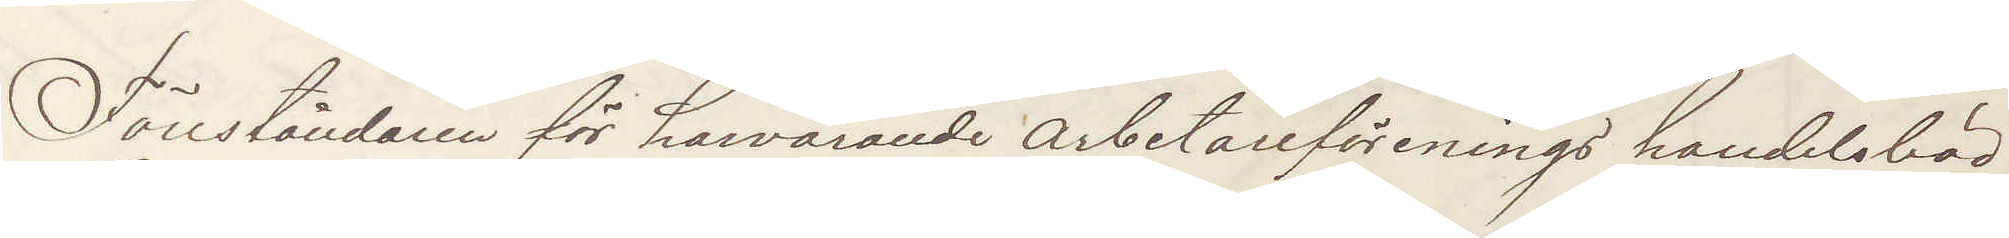Föreståndaren för härvarande arbetareförenings handelsbod
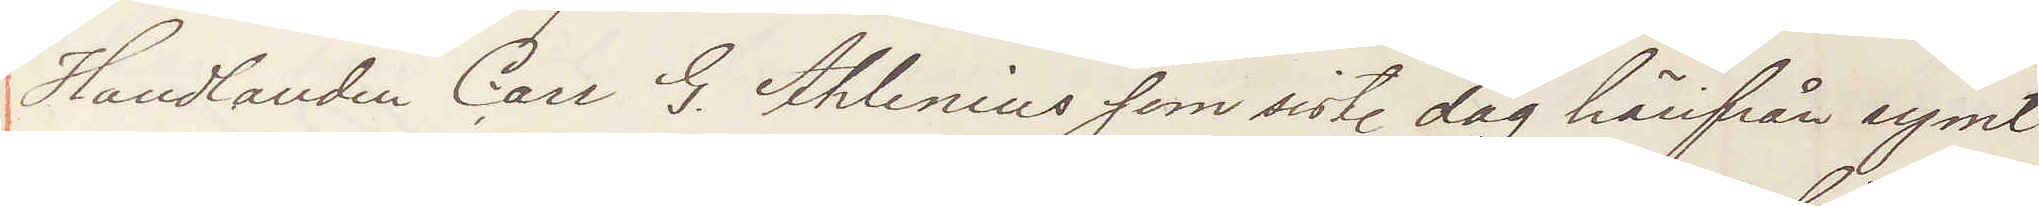Handlanden Carl G. Ahlenius som sist. dag härifrån rymt
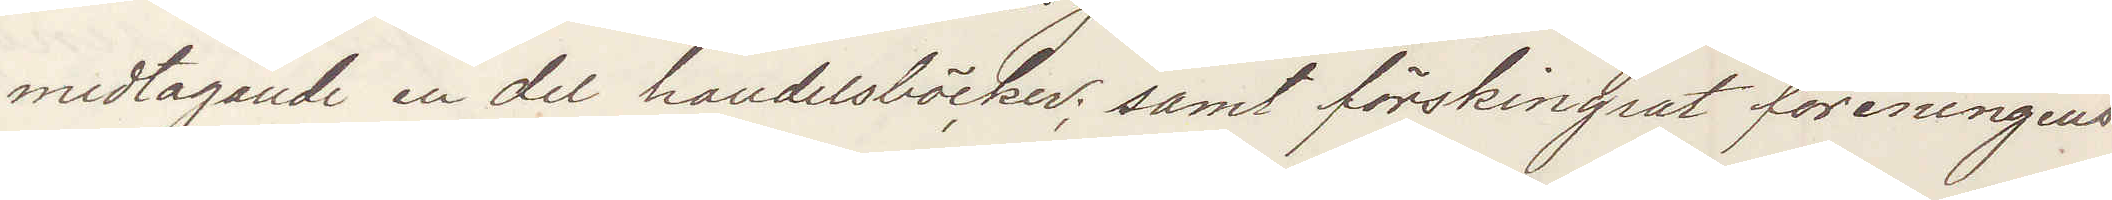medtagande en del handelsböcker; samt förskingrat föreningens
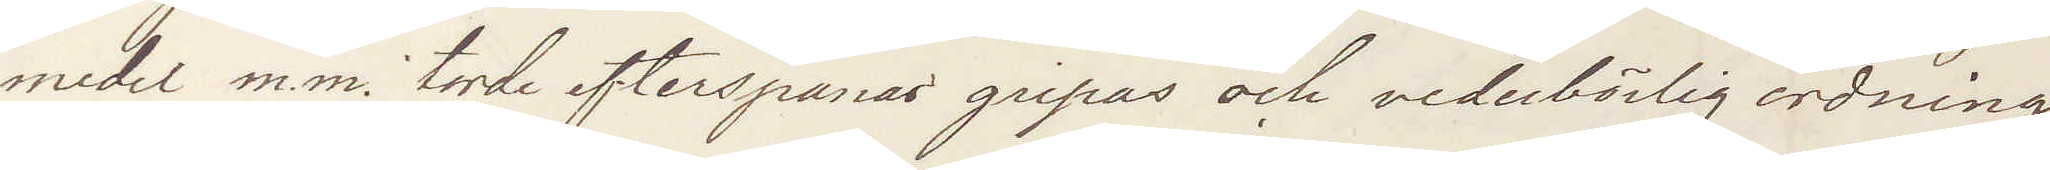medel m.m. torde efterspanas gripas och vederbörlig ordning
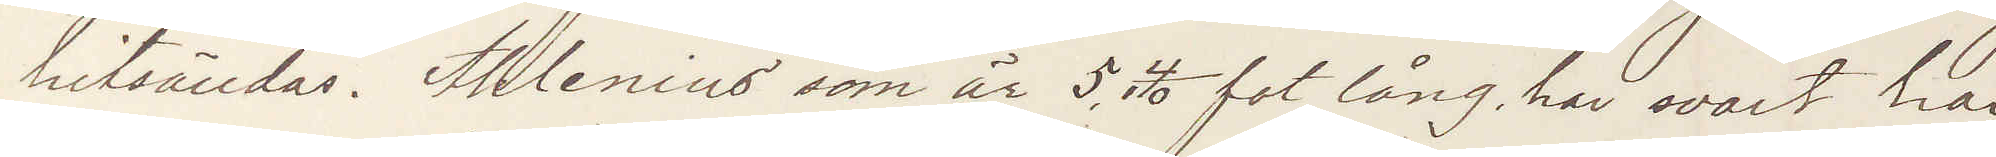hitsändas. Ahlenius som är 5,4/10 fot lång har svart hår
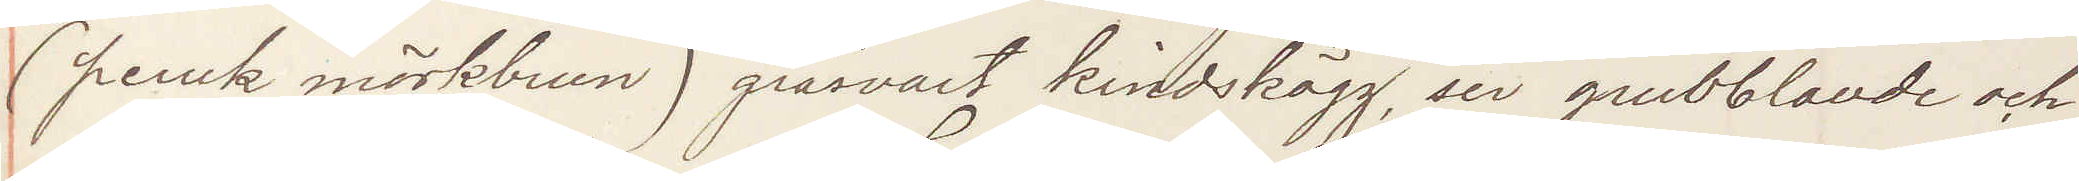(peruk mörkbrun) gråsvart kindskägg, ser grubblande och
